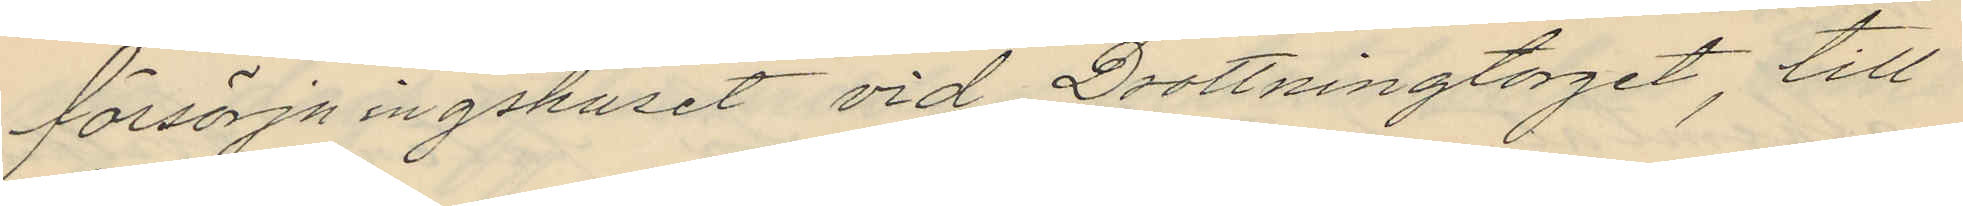försörjningshuset vid Drottningtorget, till
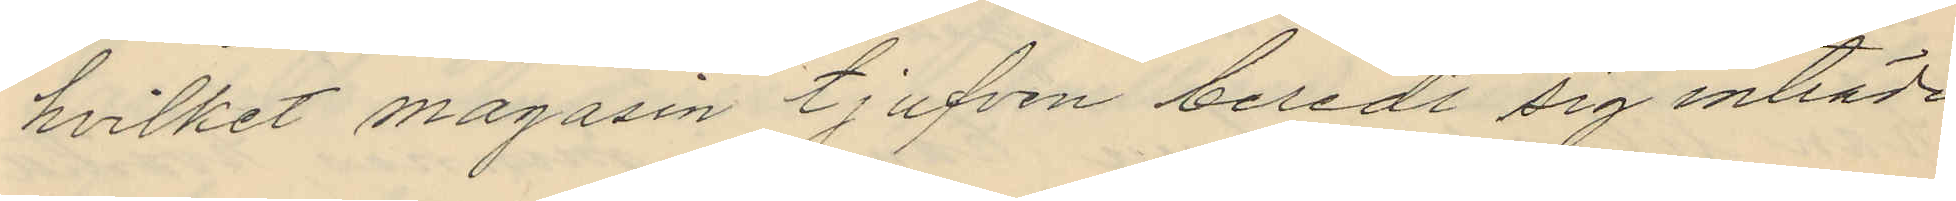hvilket magasin tjufven beredt sig inträde
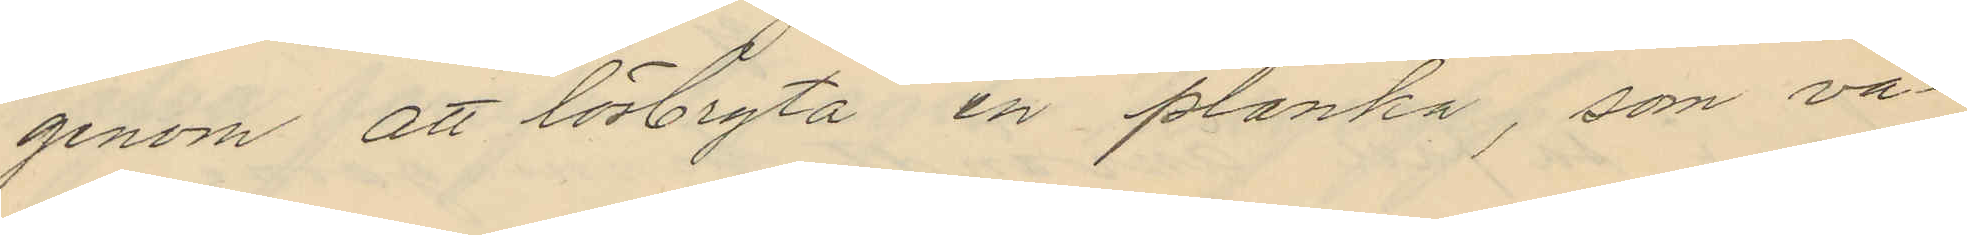genom att lösbryta en planka, som va¬
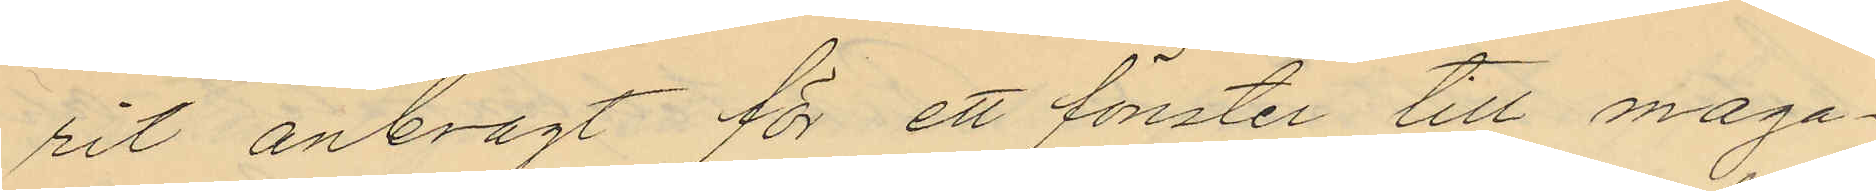rit anbragt för ett fönster till maga¬
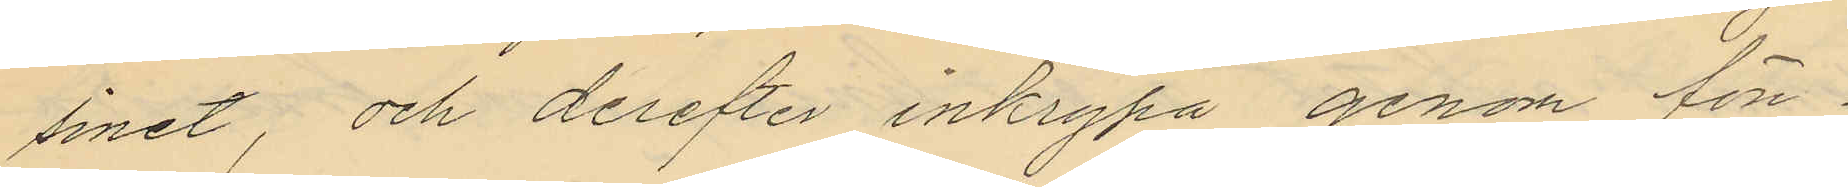sinet, och derefter inkrypa genom fön¬
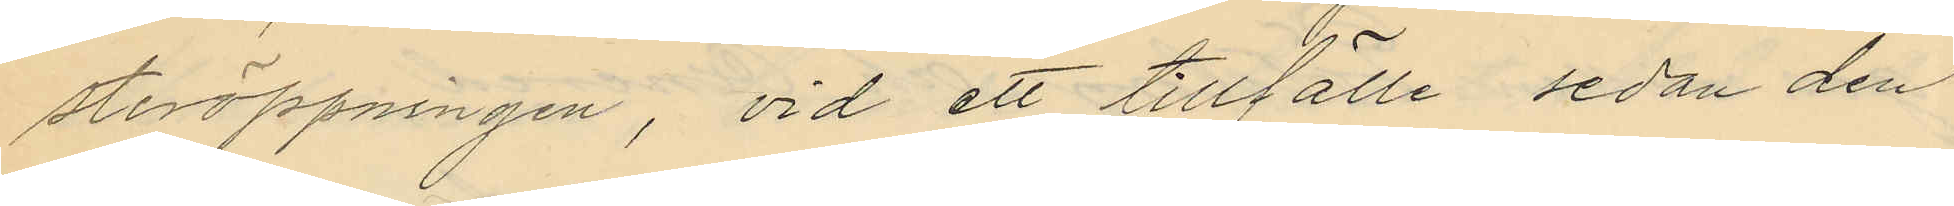steröppningen, vid ett tillfälle sedan den
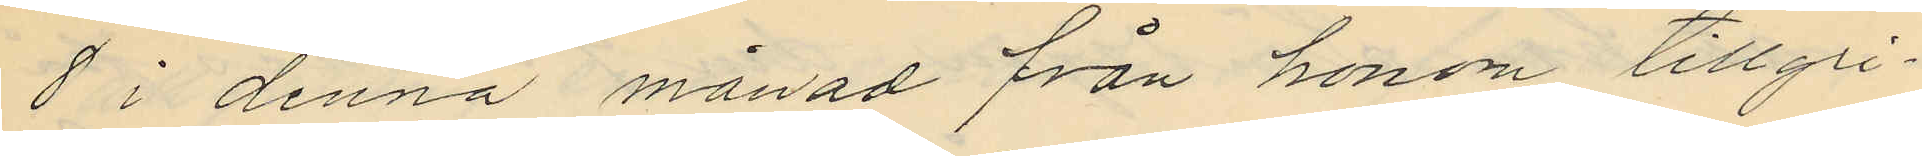8 i denna månad från honom tillgri¬
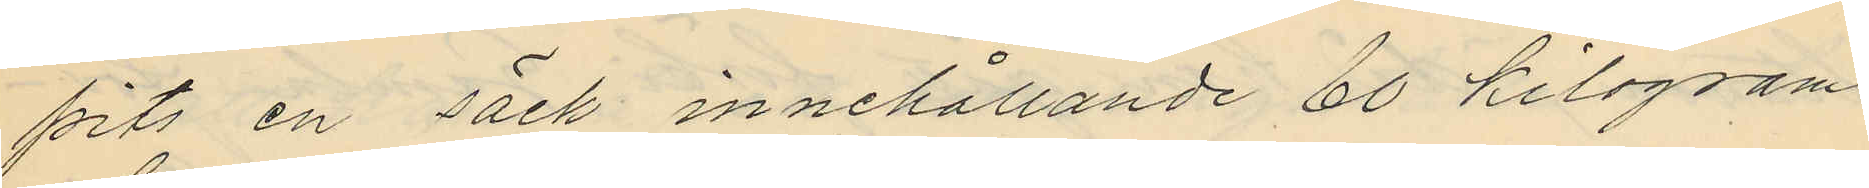pits en säck innehållande 60 kilogram
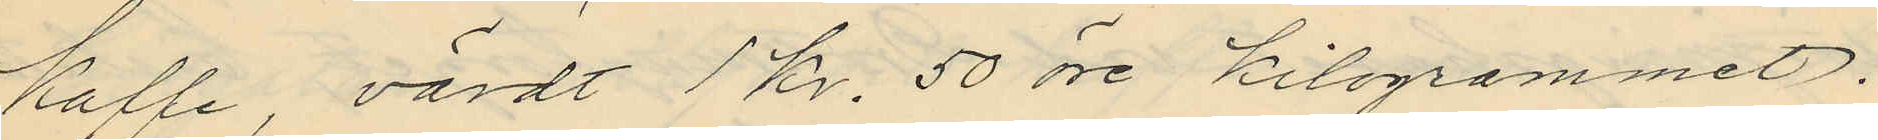kaffe, värdt 1 kr. 50 öre kilogrammet.
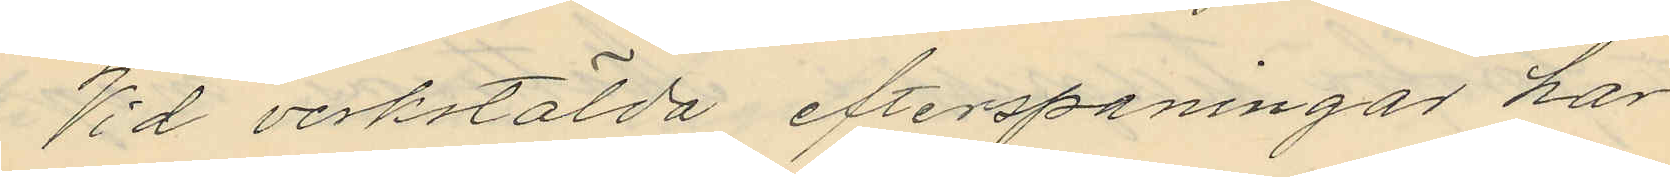Vid verkstälda efterspaningar har
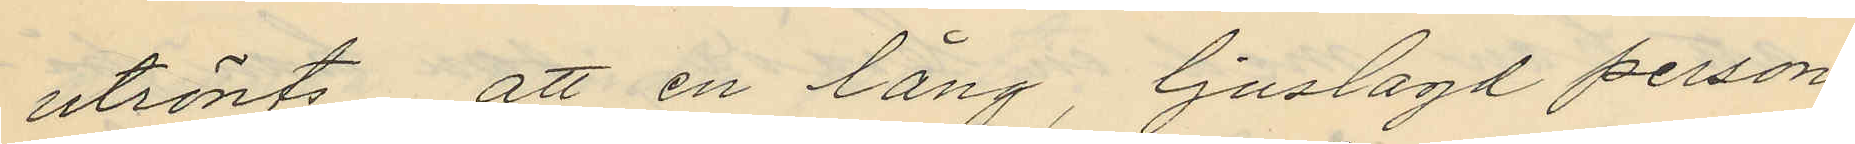utrönts, att en lång, ljuslagd person
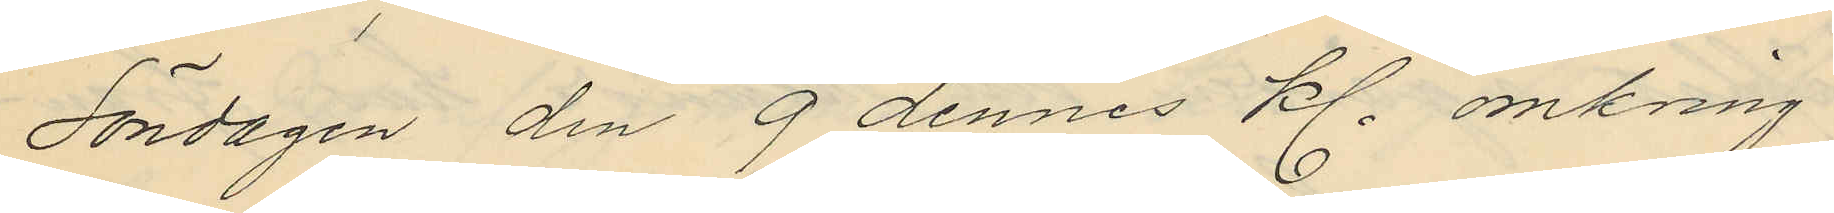Söndagen den 9 dennes kl. omkring
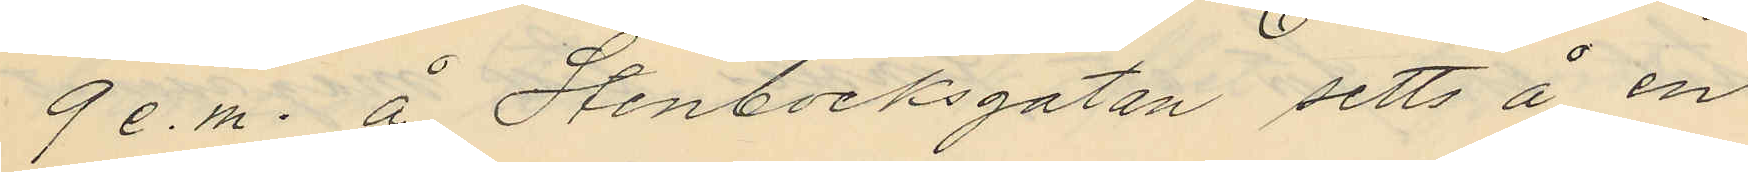9 e.m. å Stenbocksgatan setts å en
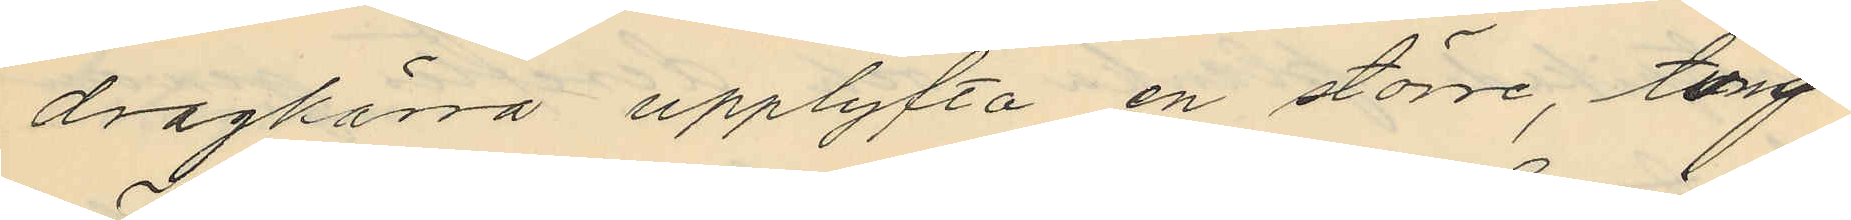dragkärra upplyfta en större, tung
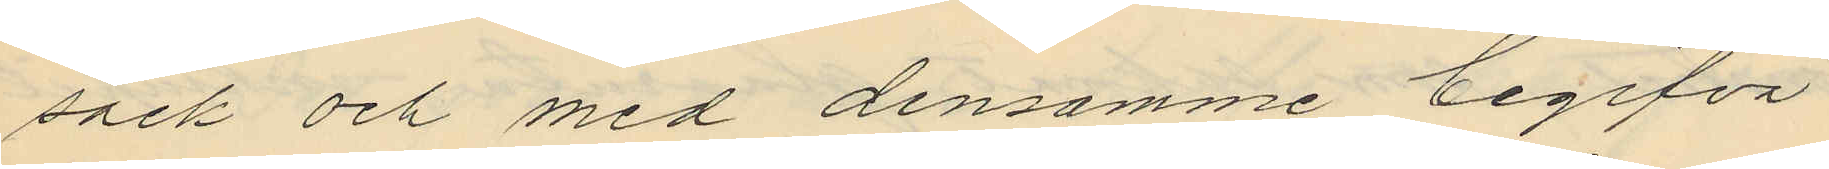säck och med densamme begifva
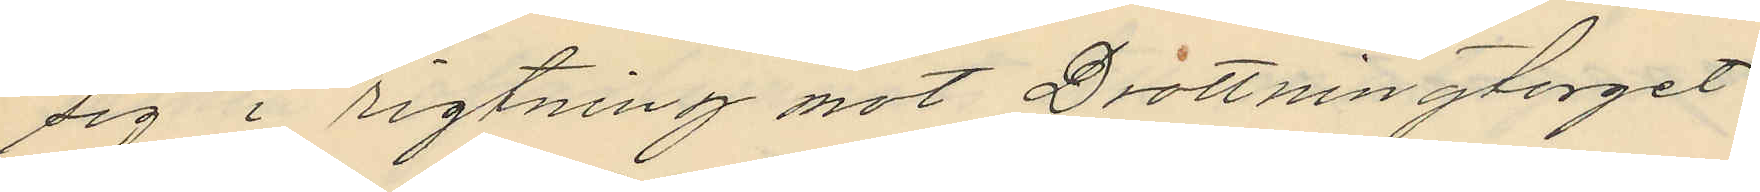sig i rigtning mot Drottningtorget.
